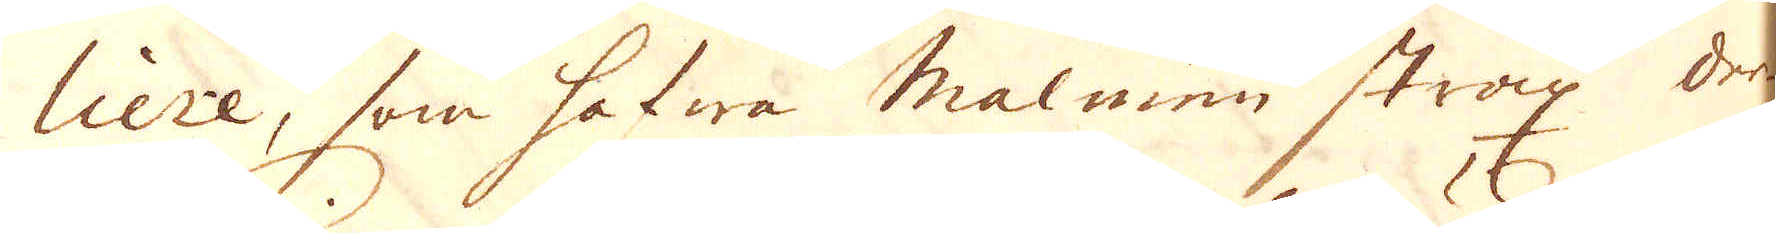liere, som hafwa malmen strax der-
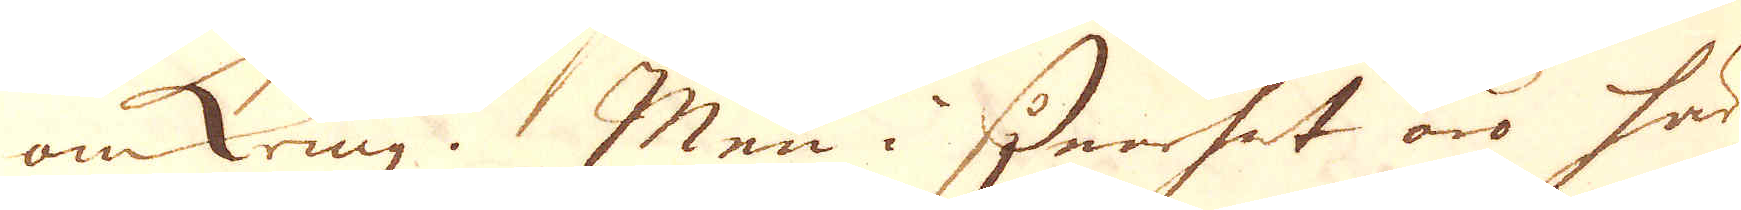omkring. Men i synnerhet äro här
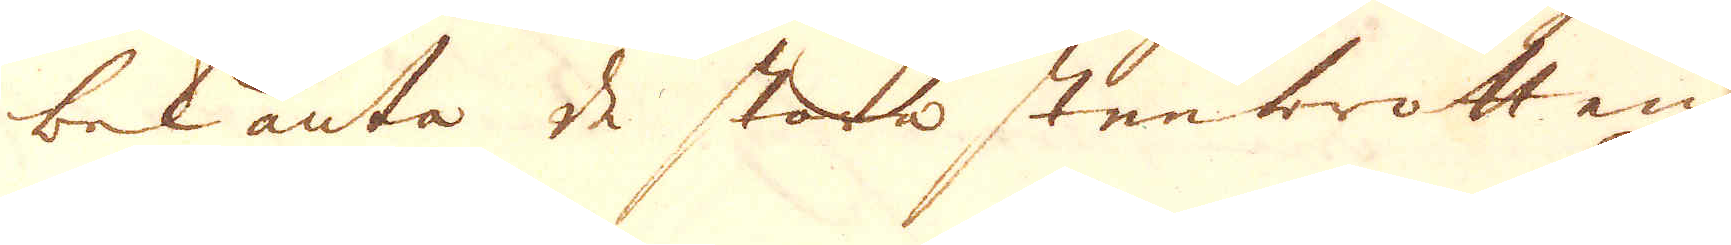bekanta de stora stenbrotten
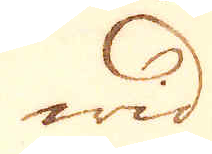wid
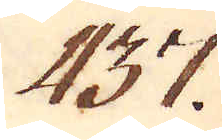437.
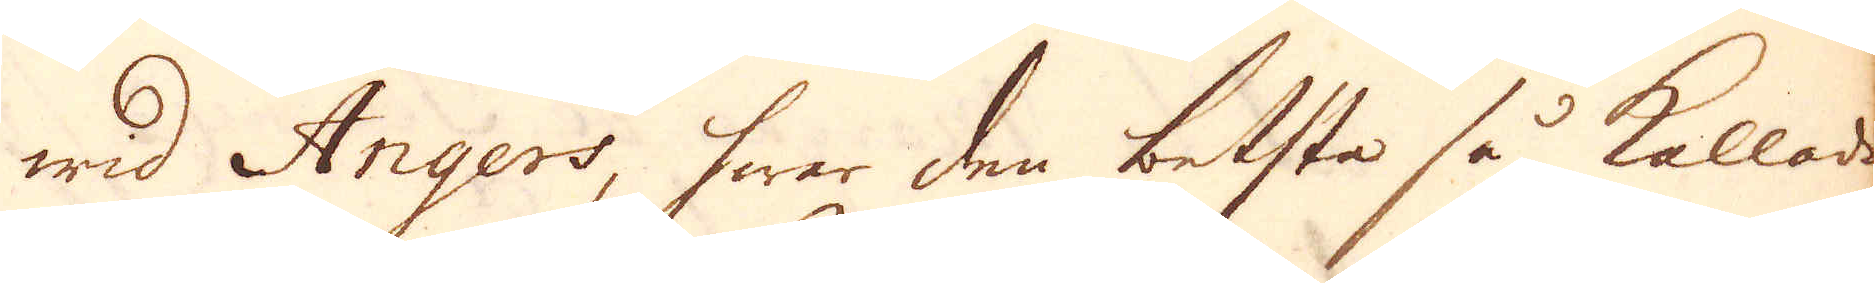wid Angers, hwar den betsta så kallade
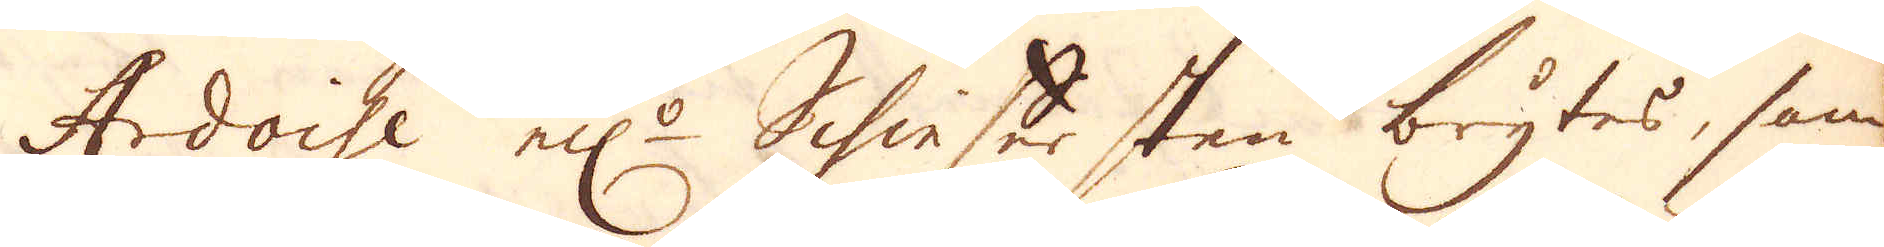Ardoise el:r Schiefer sten brytes, som
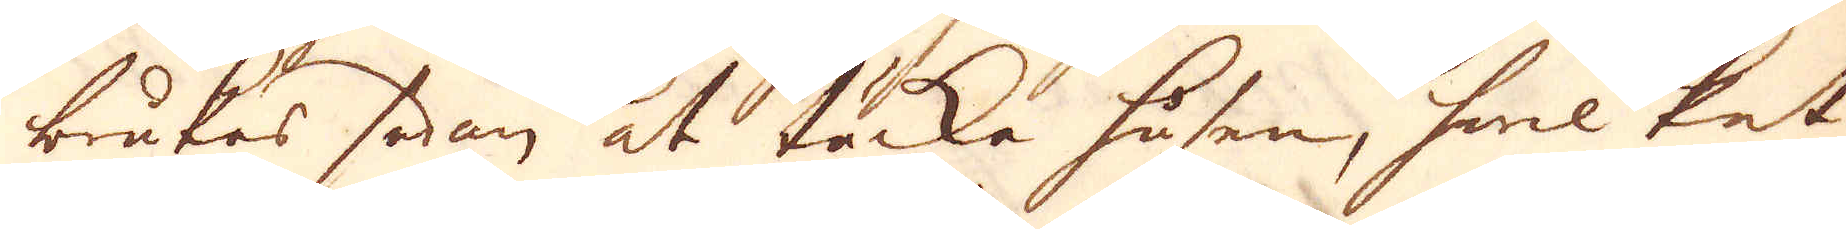brukes sedan at täcka husen, hwilket
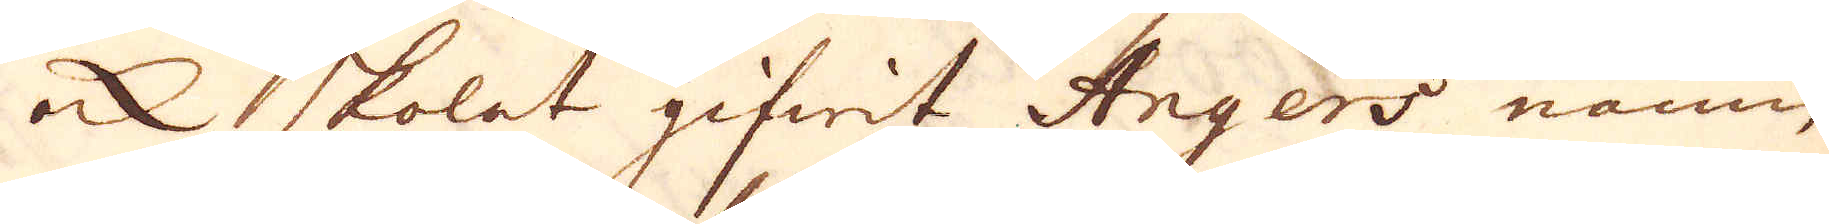in skolat gifwit Angers namn
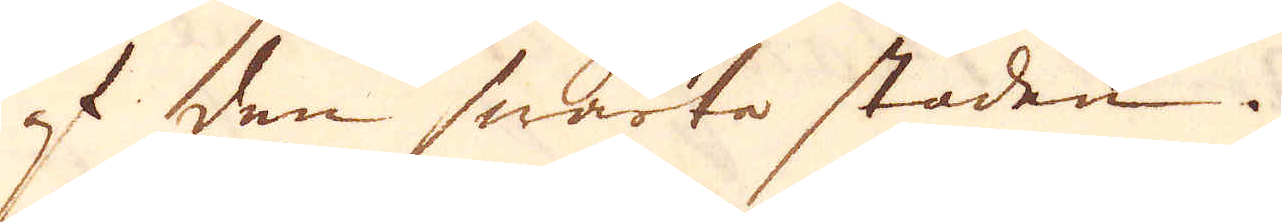af den swarta staden.
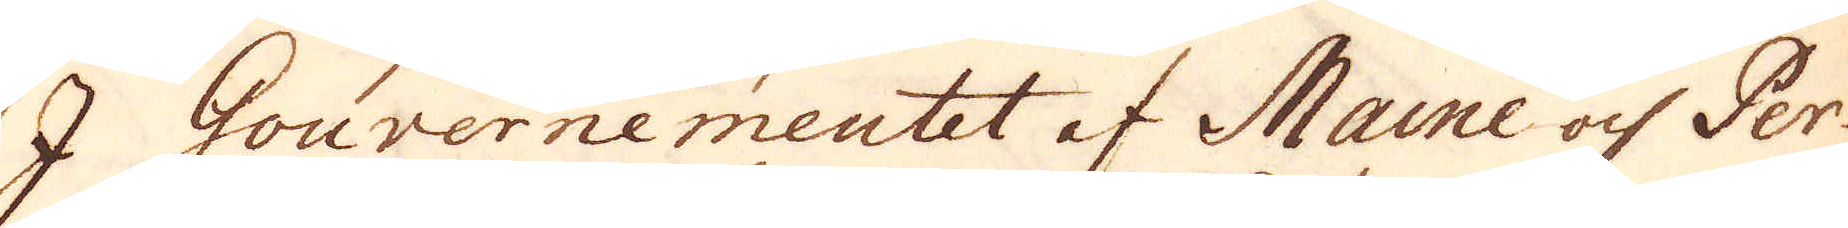I Gouvernementet af Maine och Per-
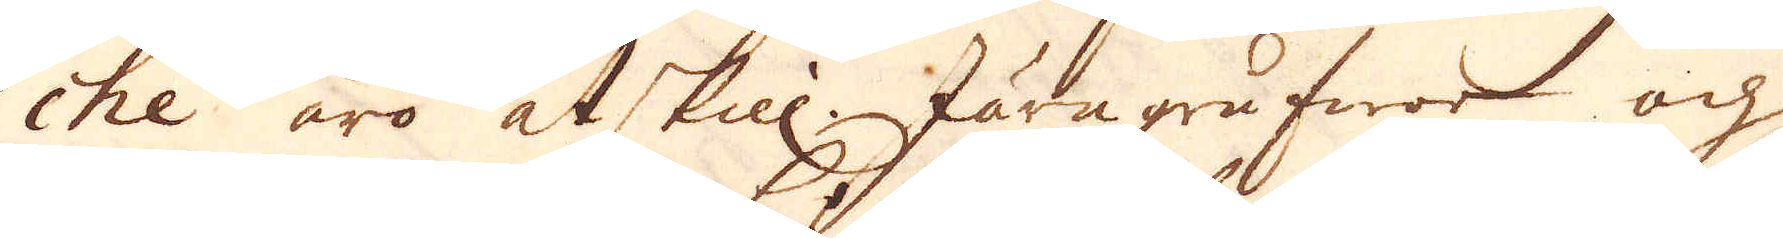chée äro åtskill. Järn grufwor och
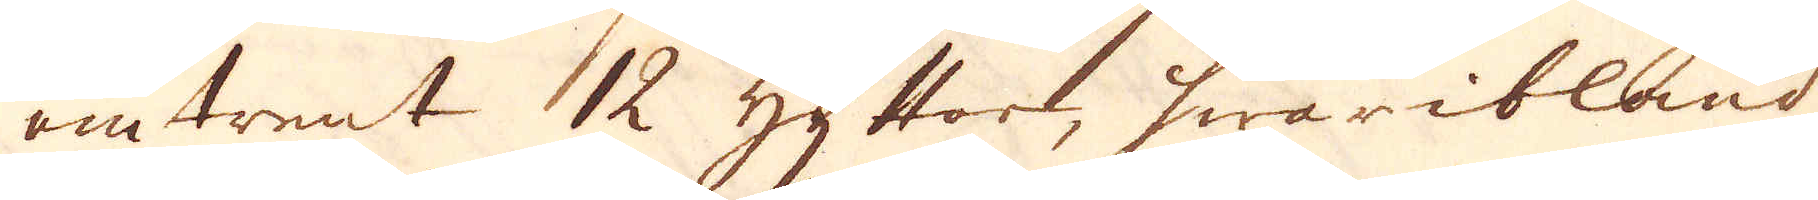omtrent 12 hyttor, hwaribland
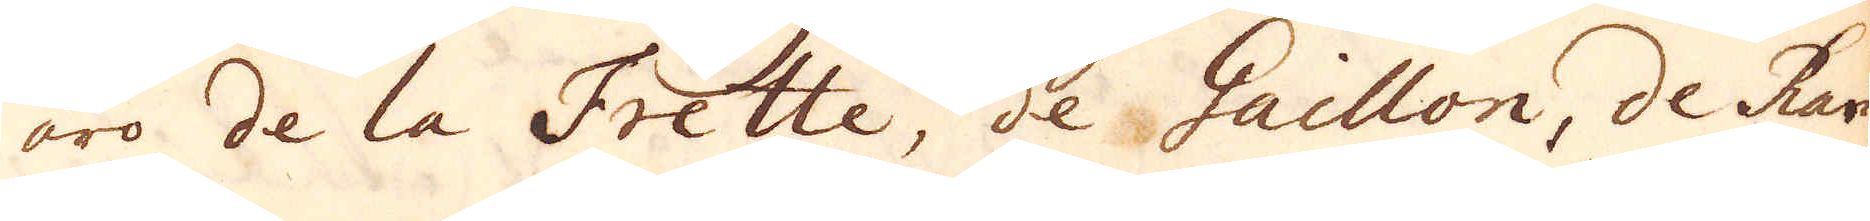äro de la Frette, de Gaillon, de Ran-
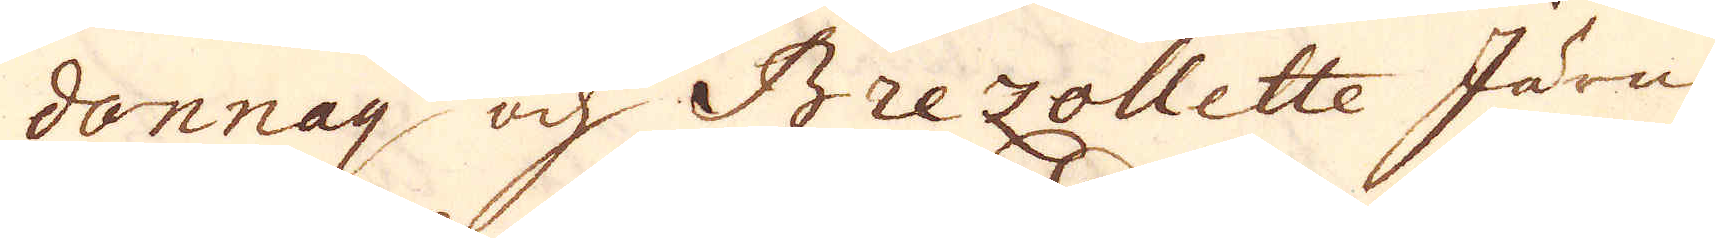donnay och Brezollette Järn-
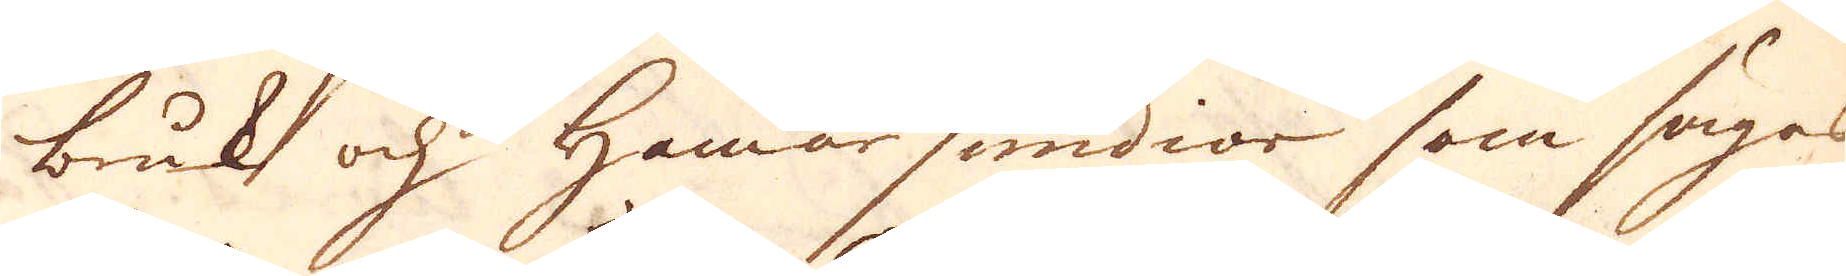bruk och Hammarsmidior som sägas
